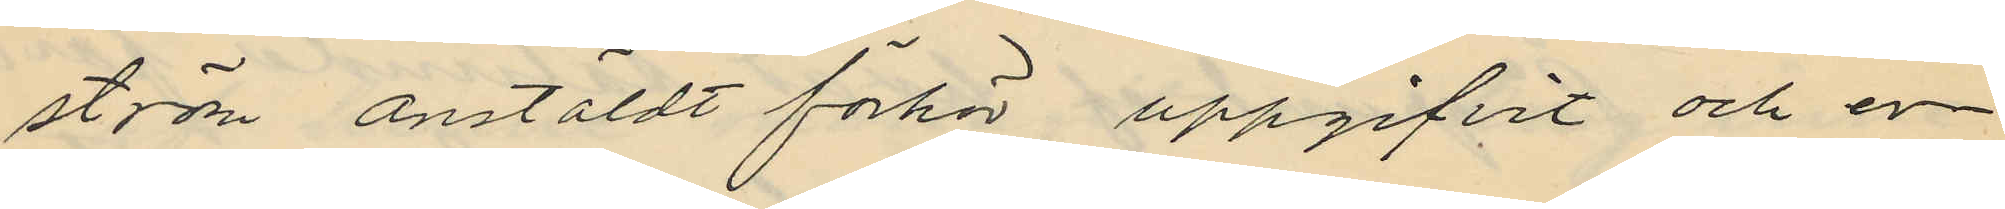ström anstäldt förhör uppgifvit och er¬
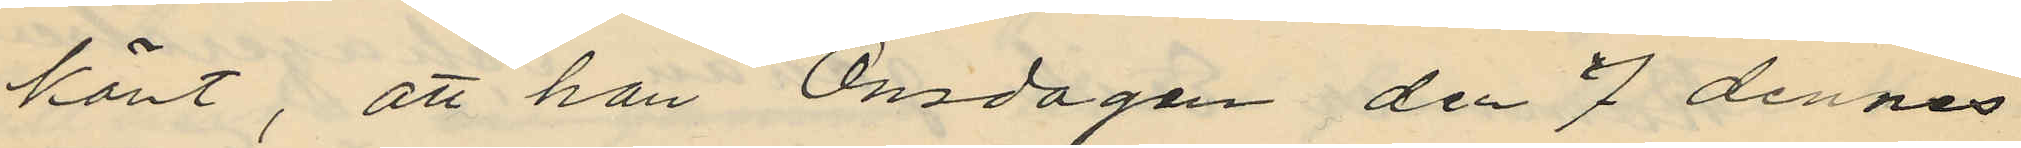känt, att han Onsdagen den 7 dennes
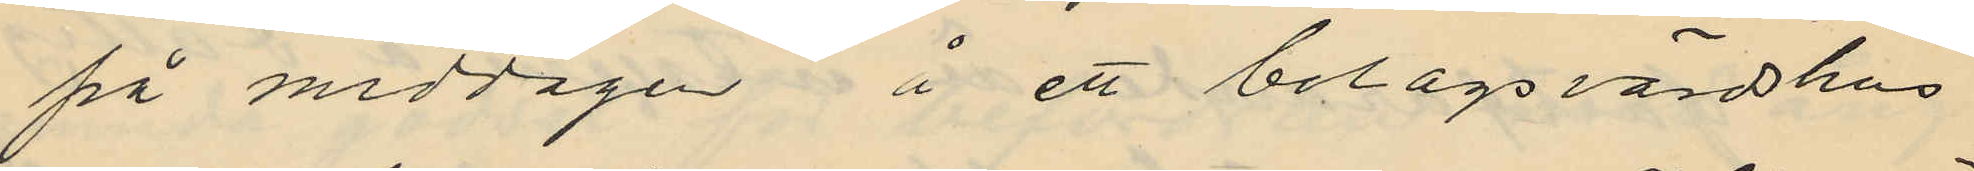på middagen å ett bolagsvärdshus
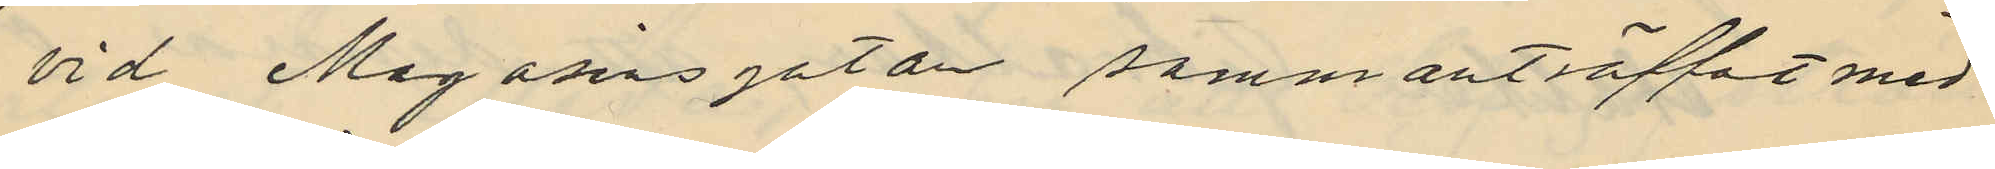vid Magasinsgatan sammanträffat med
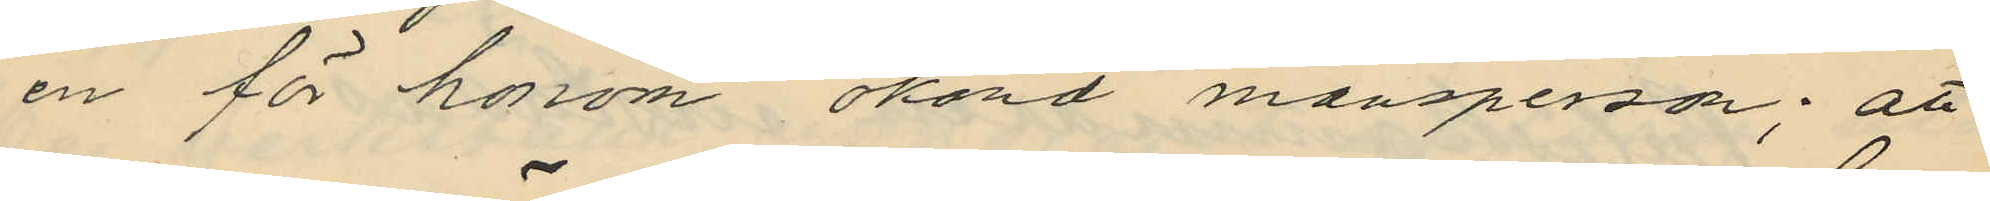en för honom okänd mansperson; att
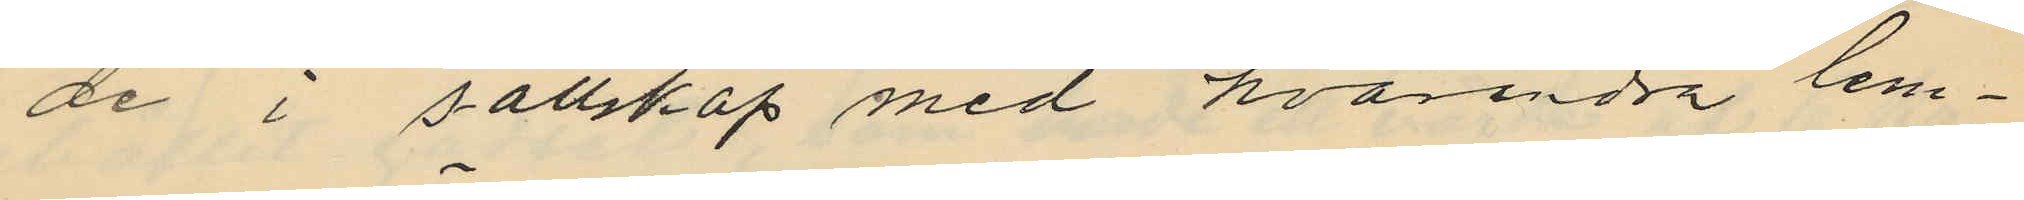de i sällskap med hvarandra lem¬
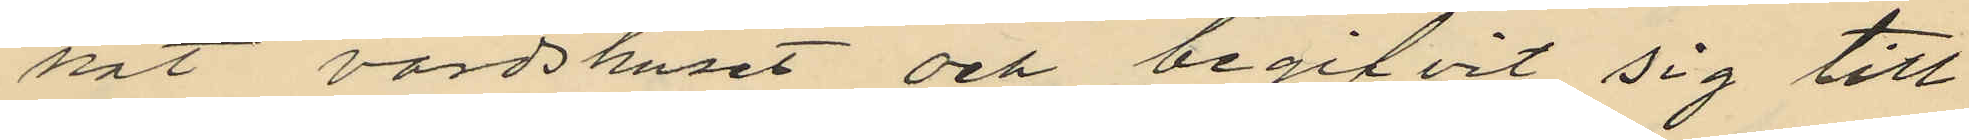nat värdshuset och begifvit sig till
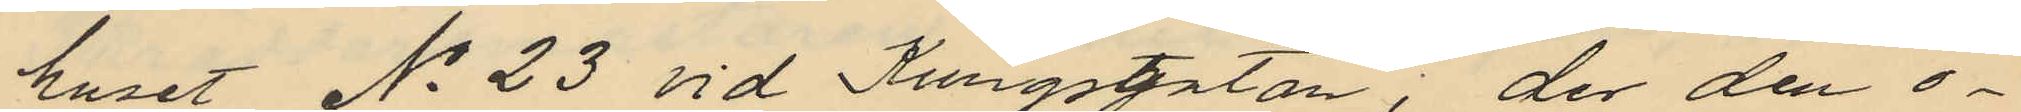huset No 23 vid Kungsgatan, der den o¬
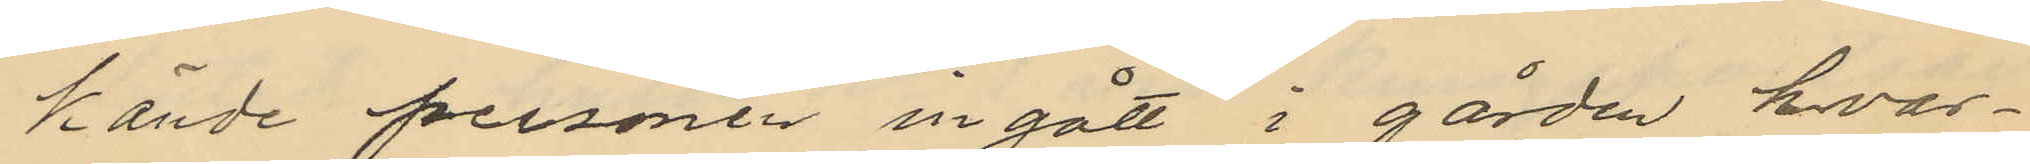kände personen in gått i gården hvar¬
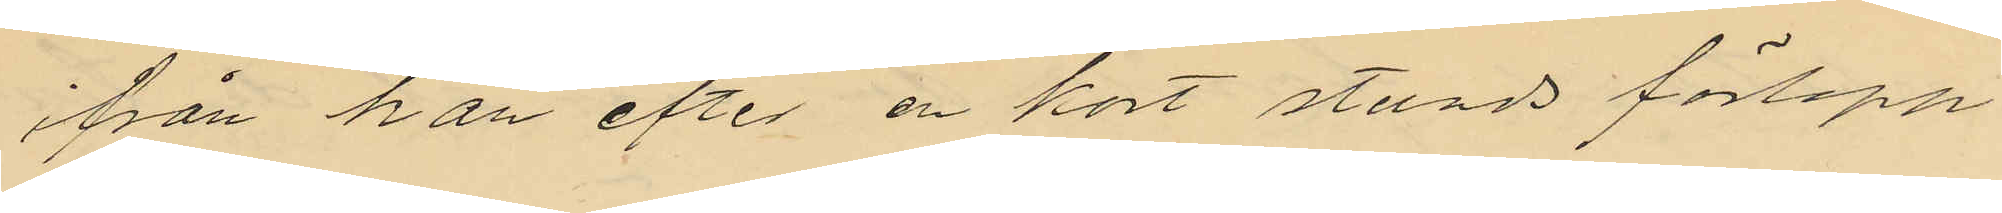ifrån han efter en kort stunds förlopp
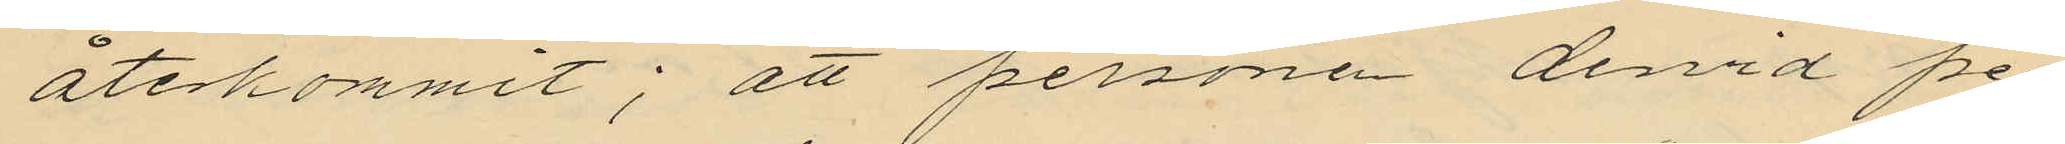återkommit; att personen dervid pe¬
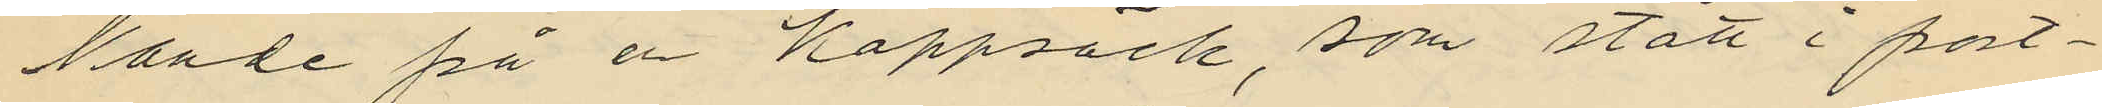kande på en kappsäck, som stått i port¬
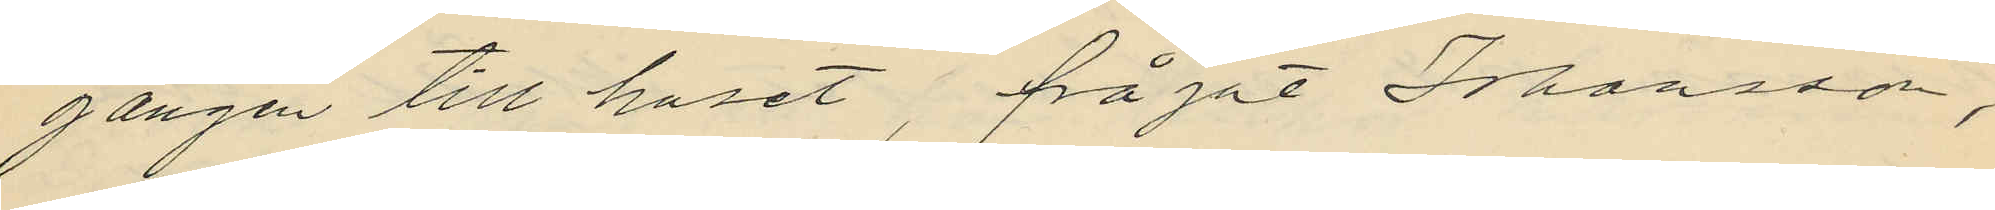gången till huset, frågat Johansson,
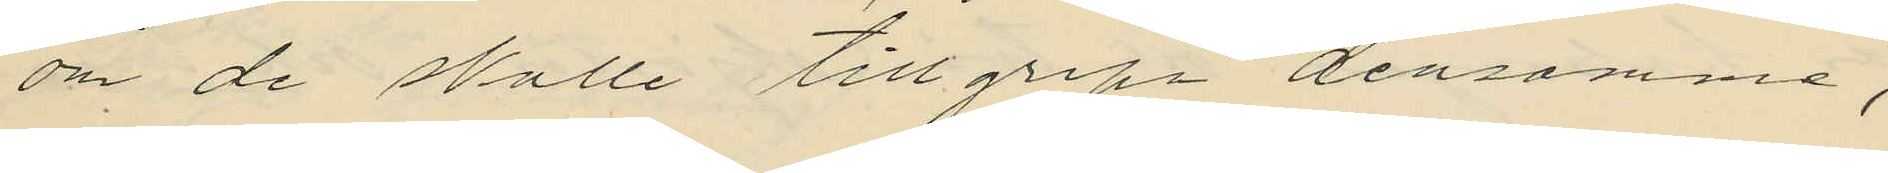om de sälle tillgripa densamme,
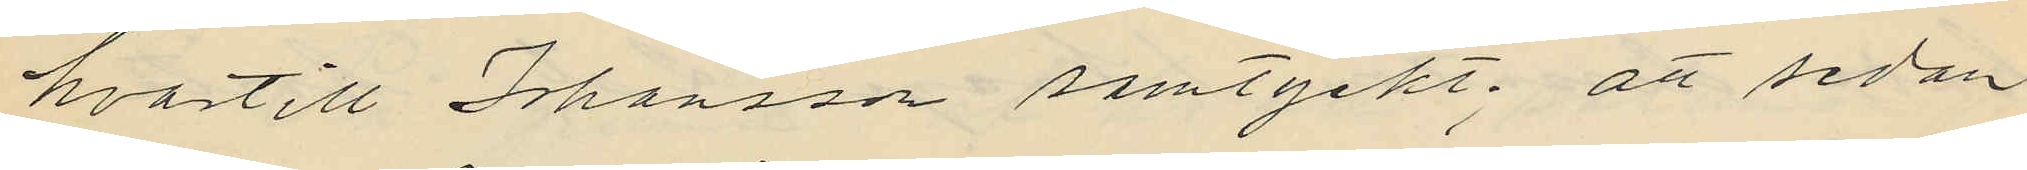hvartill Johansson samtyckt; att sedan
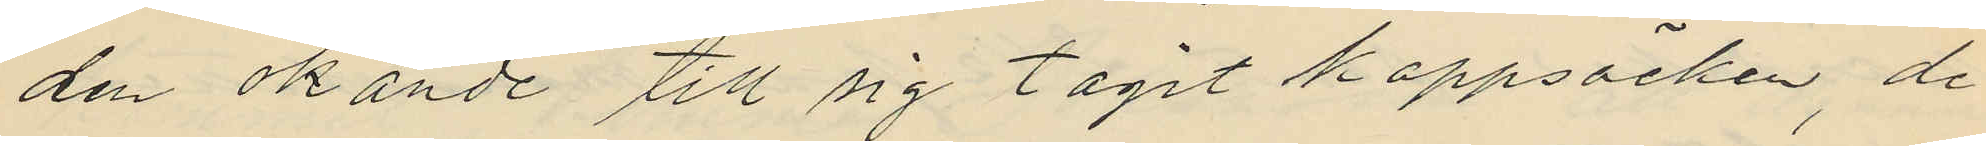den okände till sig tagit kappsäcken, de
